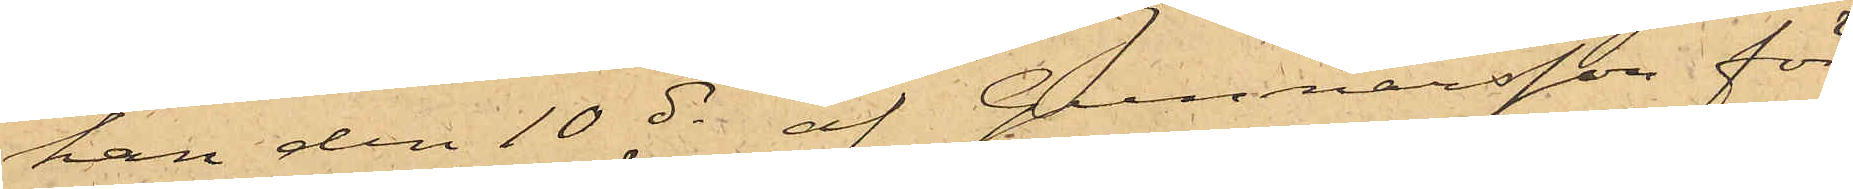han den 10 ds af Gunnarsson för
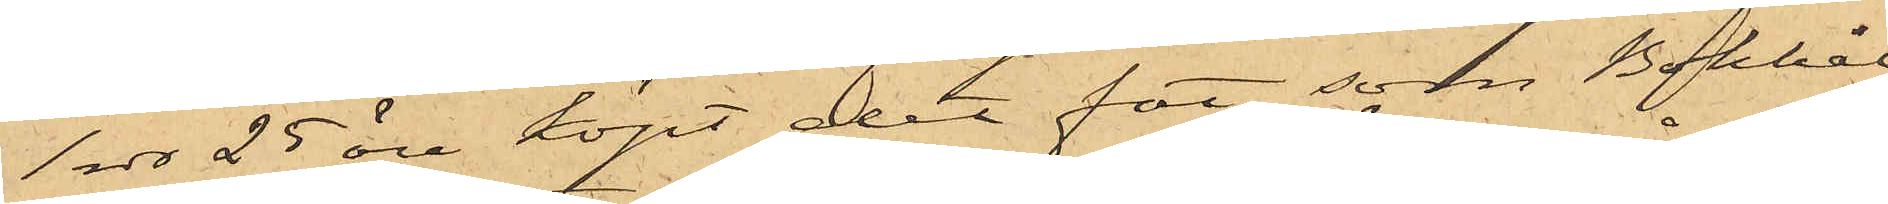1 rdr 25 öre köpt det fat, som Bokhål¬
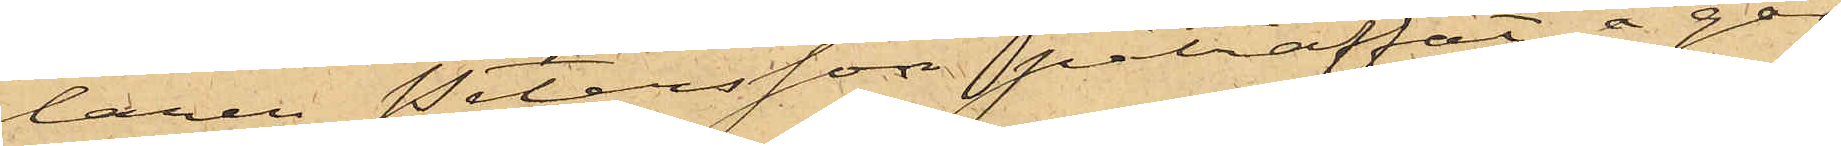laren Petersson påträffat å går¬
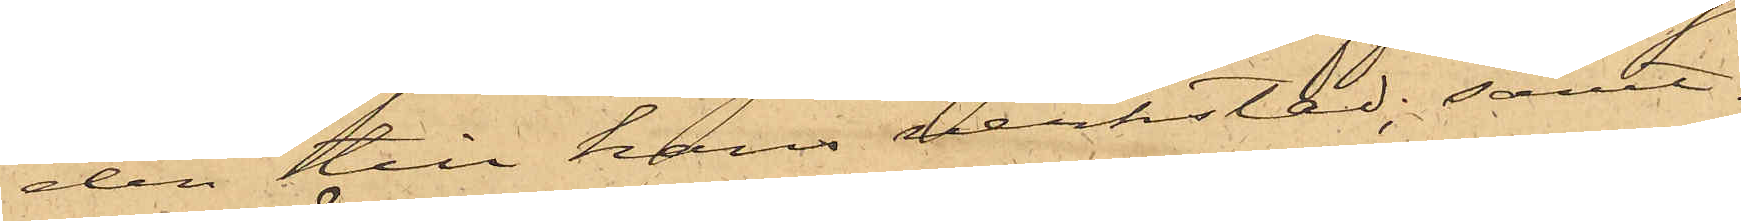den till hans verkstad; samt
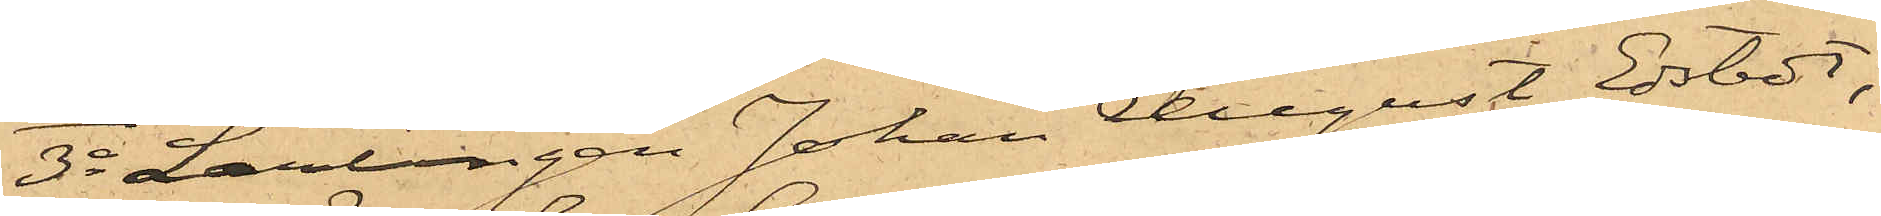3o Lärlingen Johan August Edstedt,
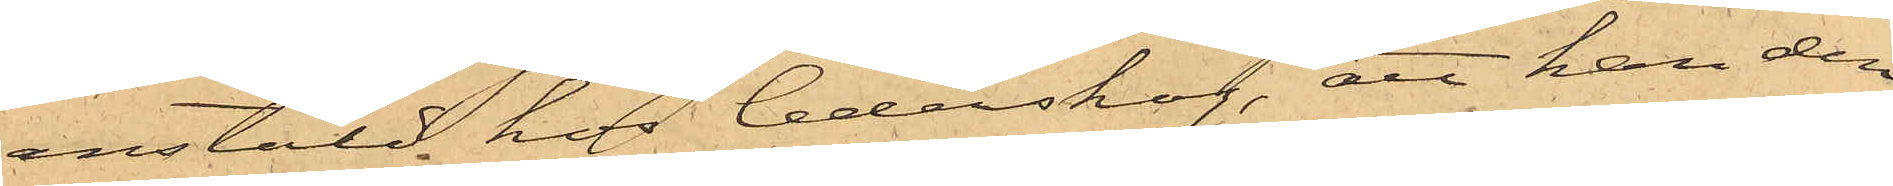anstäld hos Cederskog, att han den
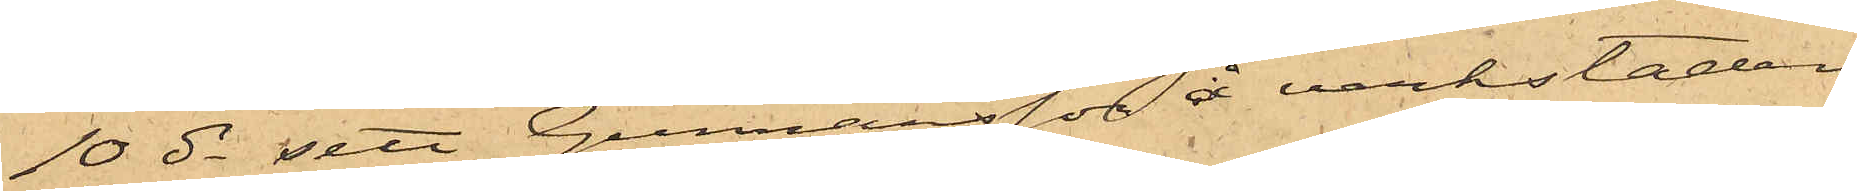10 ds sett Gunnarsson å verkstaden
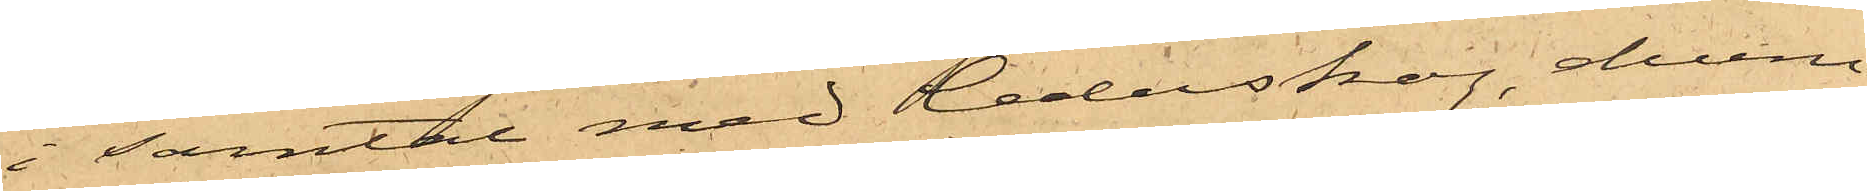i samtal med Cederskog, ehuru
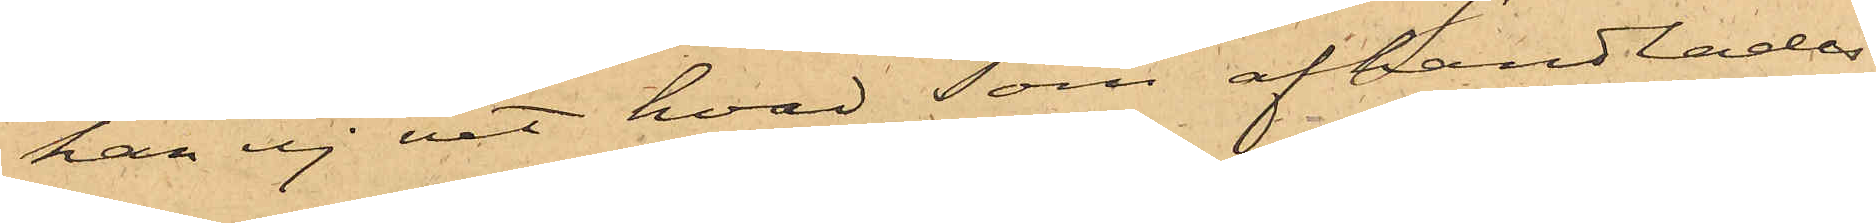han ej vet hvad som afhandlades
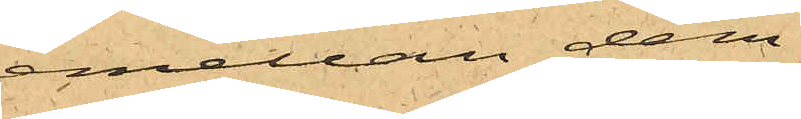emellan dem.
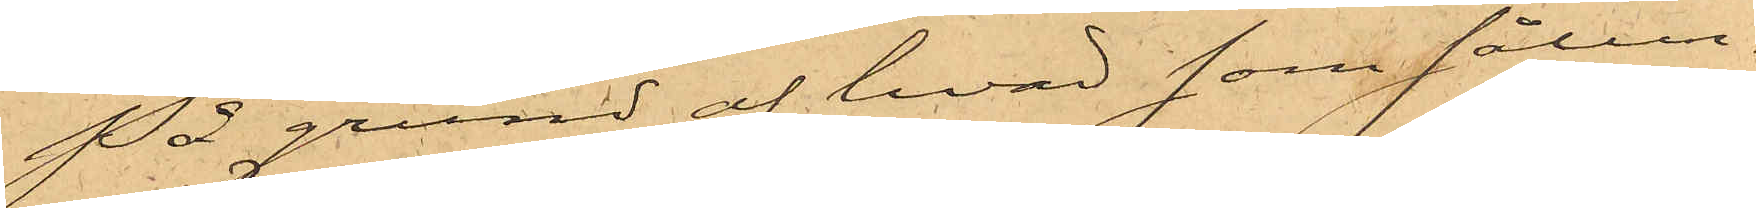På grund af hvad som sålun¬
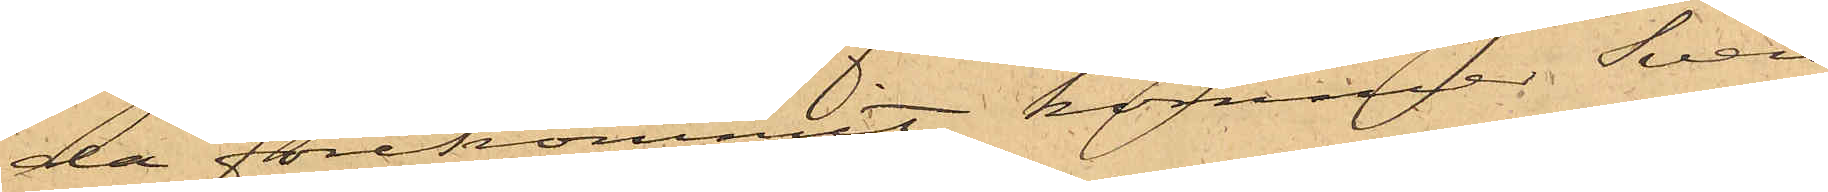da förekommit, kommer Sven
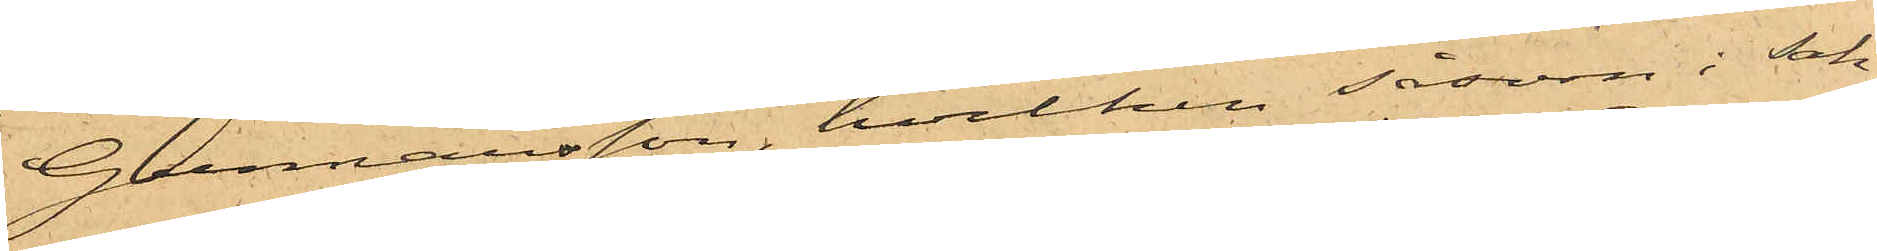Gunnarsson, hvilken såsom i sak¬
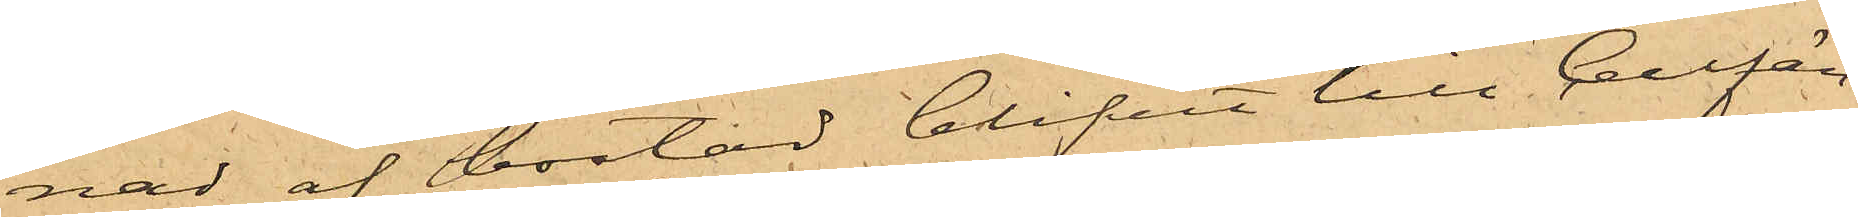nad af bostad blifvit till Cellfän¬
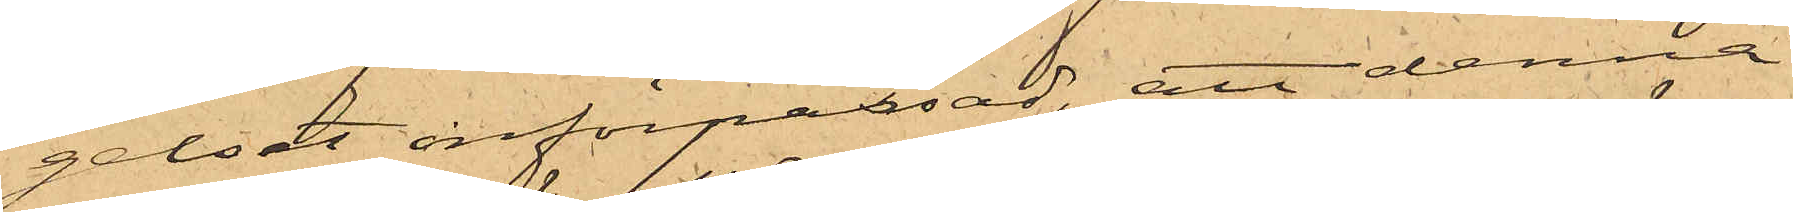gelset införpassad, att denna
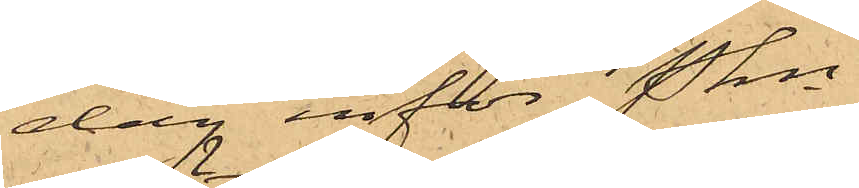dag inför Pkn
